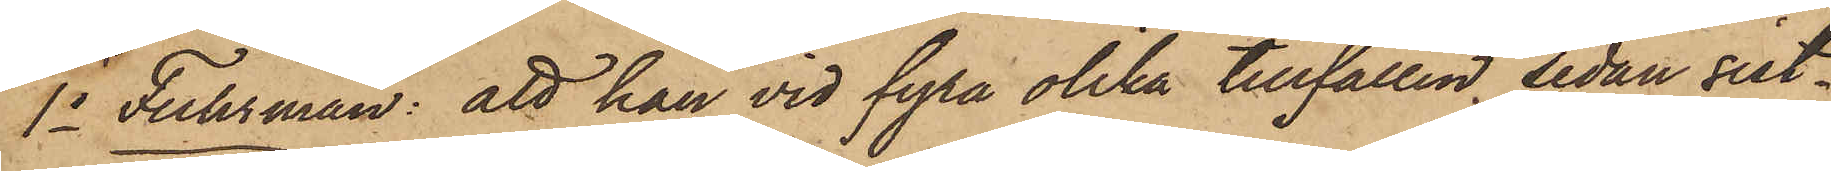1o Fuhrman: att han vid fyra olika tillfällen, sedan sist¬
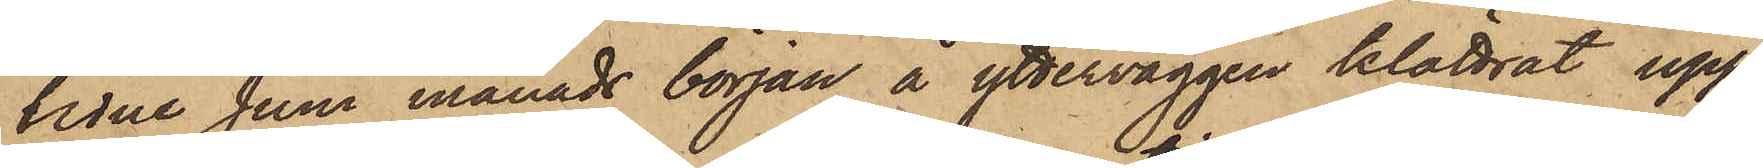lidne Juni månads början å ytterväggen klättrat upp¬
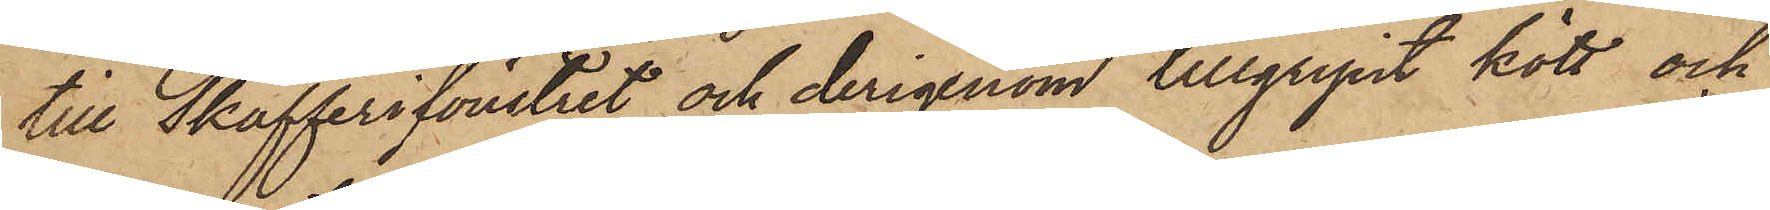till Skafferifönstret och derigenom tillgripit kött och
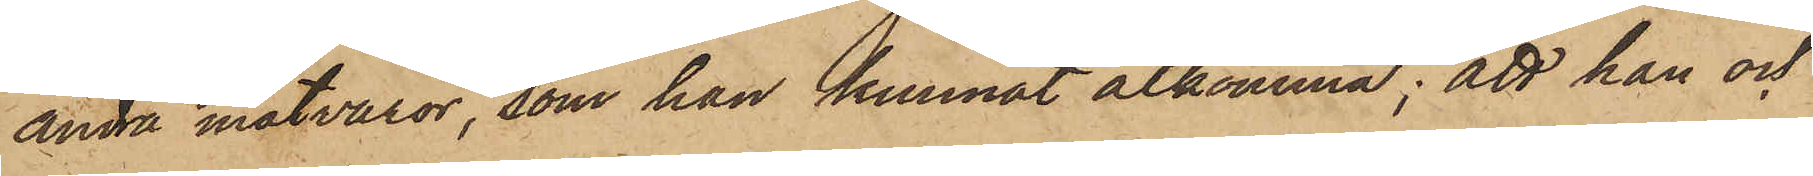andra matvaror, som han kunnat åtkomma; att han och
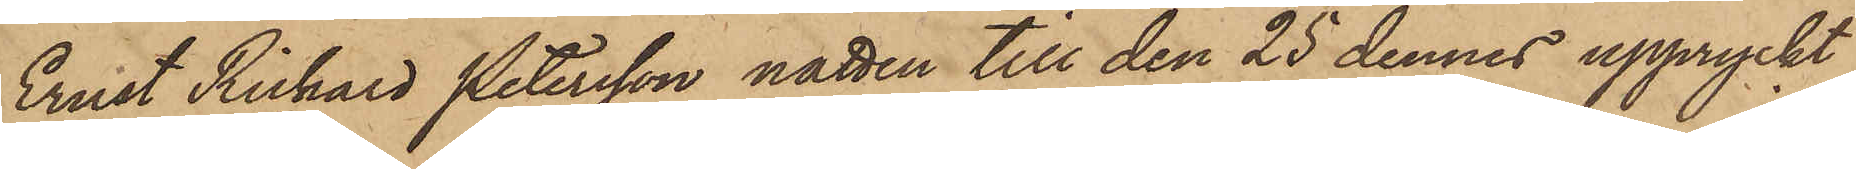Ernst Richard Petersson natten till den 25 dennes uppryckt
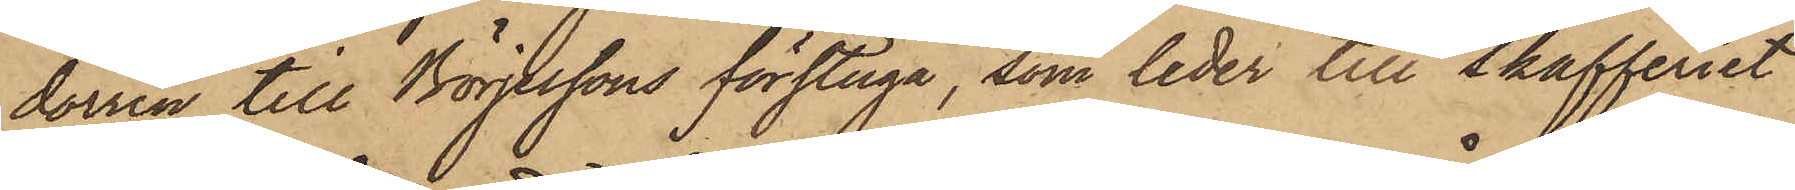dörren till Börjessons förstuga, som leder till skafferiet
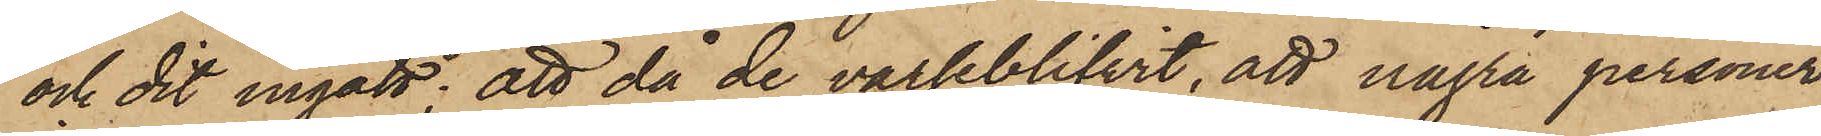och dit ingått; att då de varseblifvit, att några personer
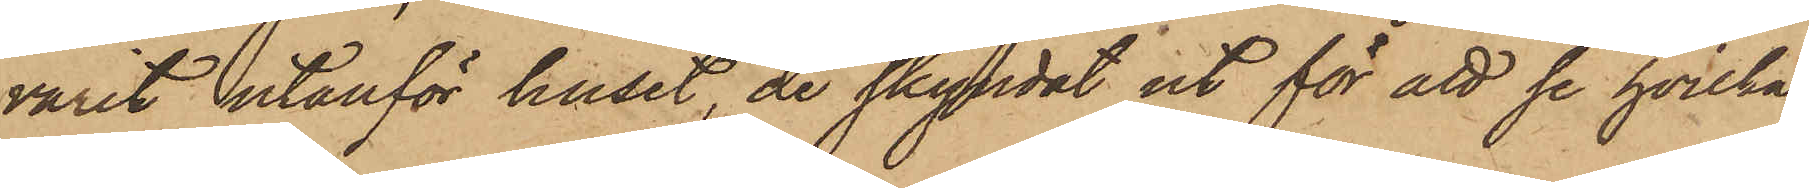varit utanför huset, de skyndat ut för att se hvilka
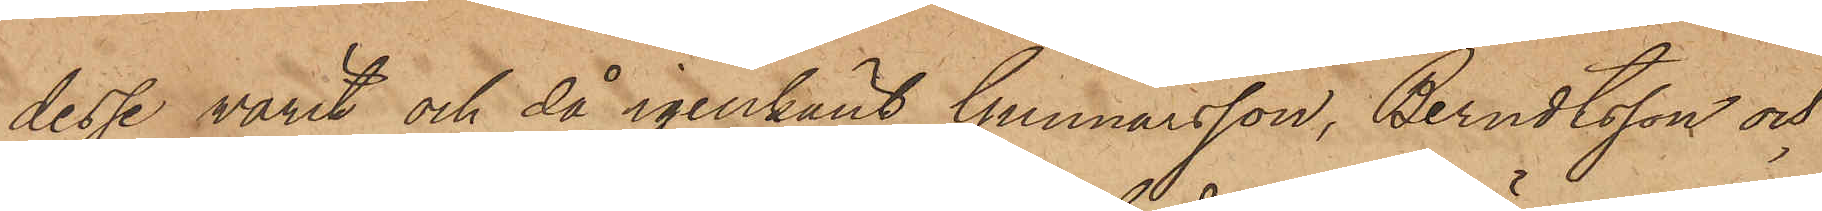desse varit och då igenkänt Gunnarsson, Berndtsson och
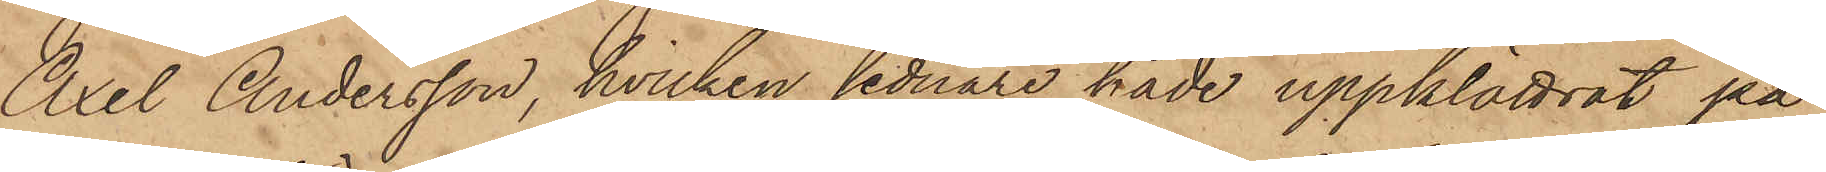Axel Andersson, hvilken sednare hade uppklättrat på
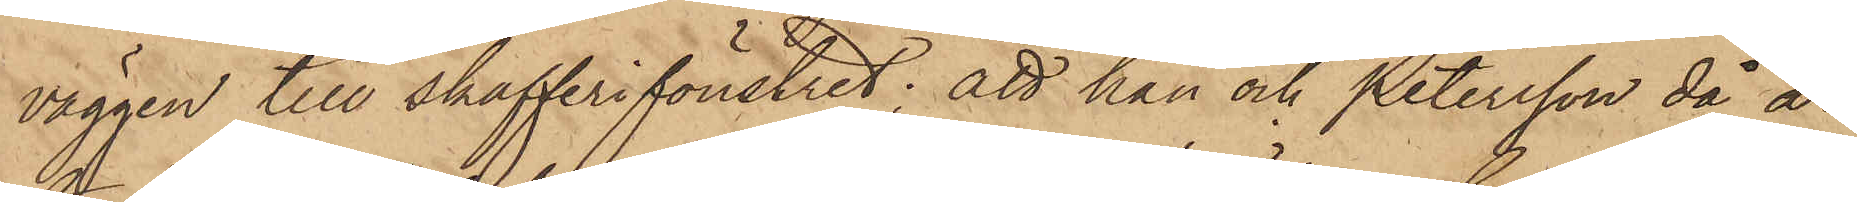väggen till skafferifönstret; att han och Petersson, då å¬
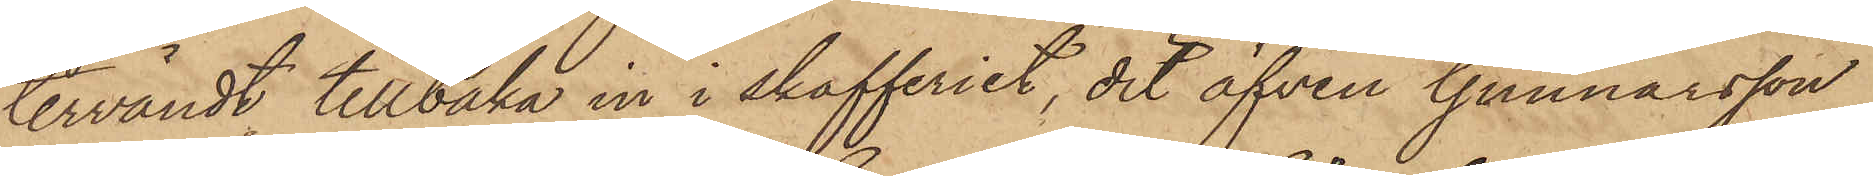tervändt tillbaka in i skafferiet, dit äfven Gunnarsson
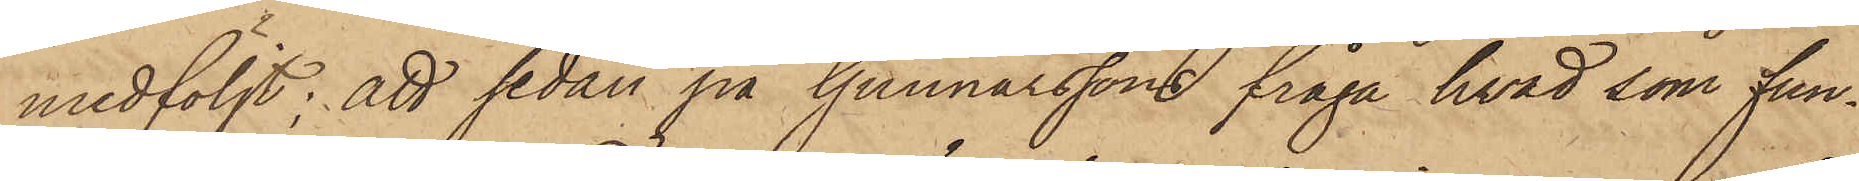medföljt; att sedan på Gunnarssons fråga hvad som fun¬
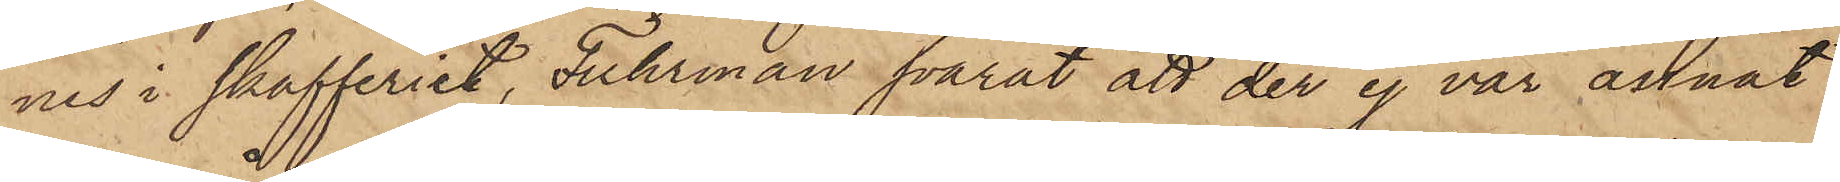nes i skafferiet, Fuhrman svarat att der ej var annat
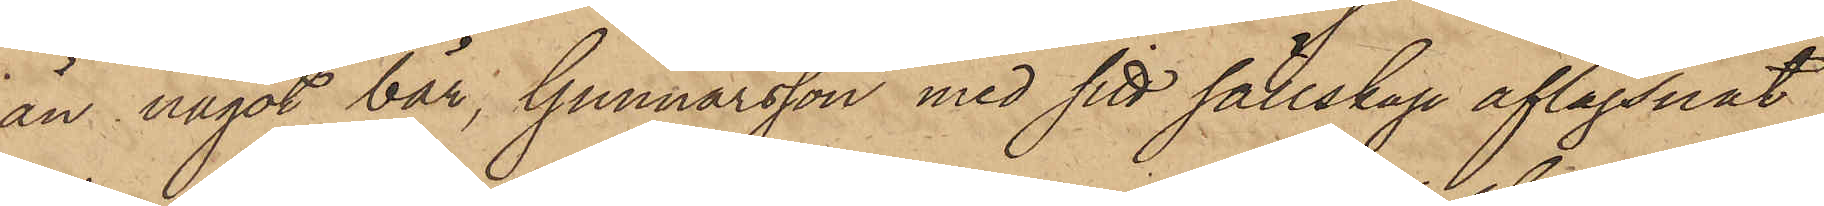än något bär, Gunnarsson med sitt sällskap aflägsnat
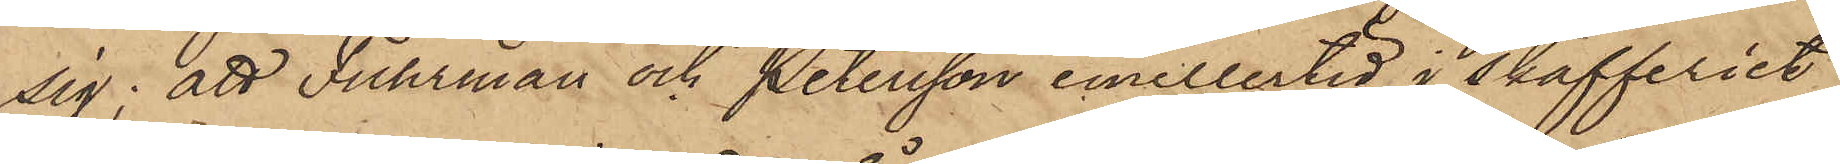sig; att Fuhrman och Petersson emellertid i skafferiet
